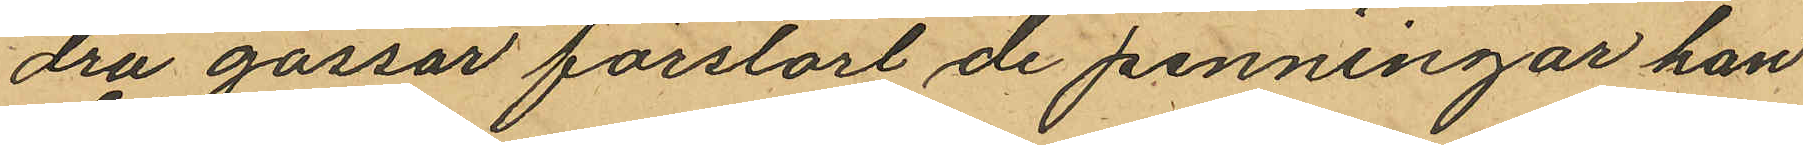dra gossar förstört de penningar han
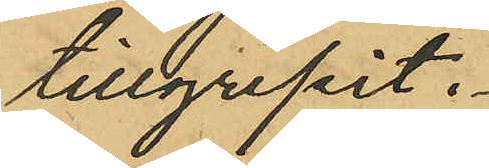tillgripit.
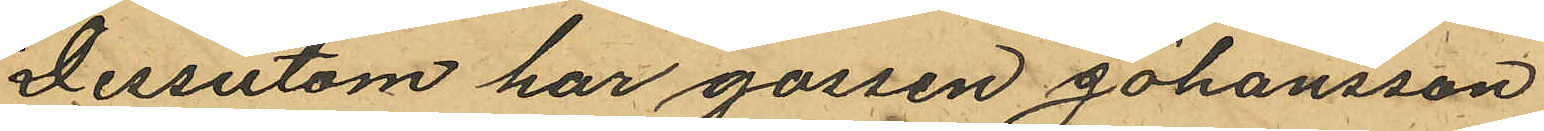Dessutom har gossen Johansson
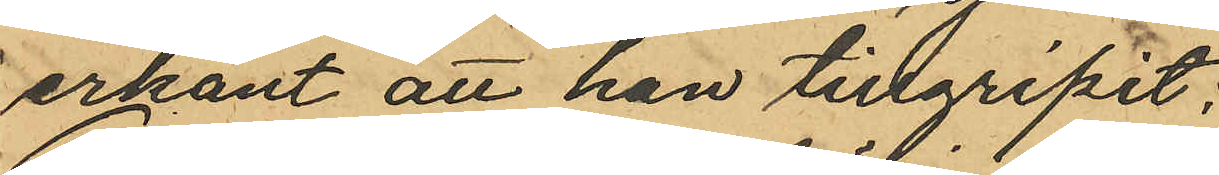erkänt att han tillgripit:
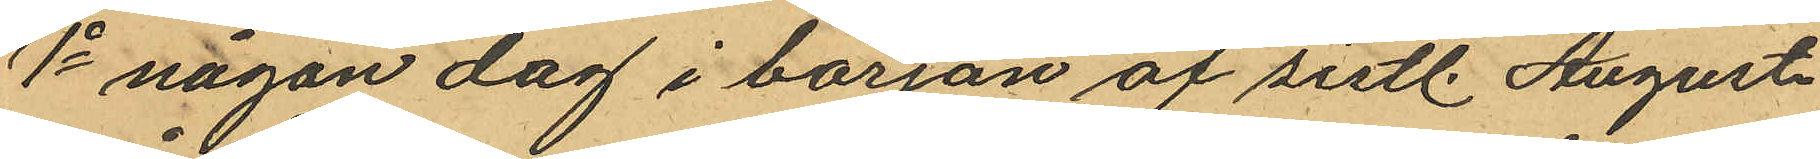1o någon dag i början af sistl. Augusti
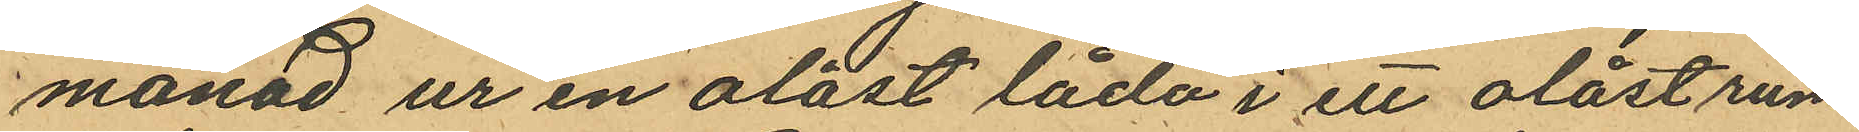månad ur en olåst låda i ett olåst rum
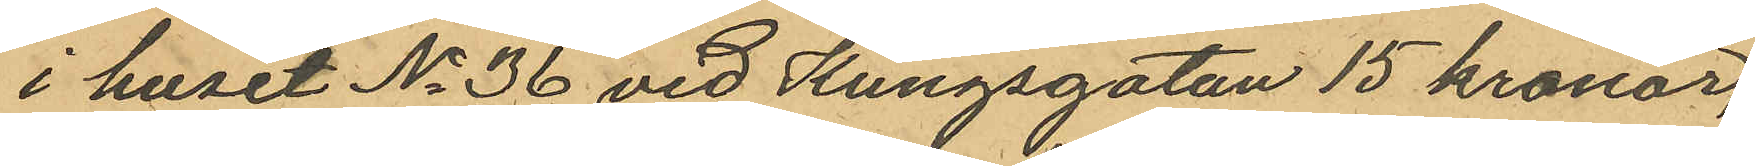i huset No 36 vid Kungsgatan 15 kronor,
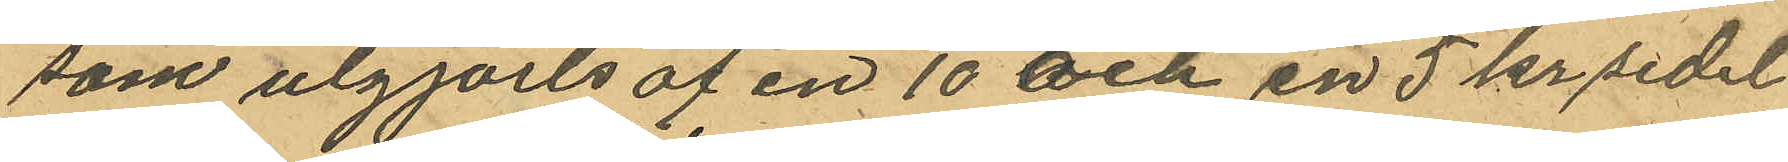som utgjorts af en 10 och en 5 kr sedel
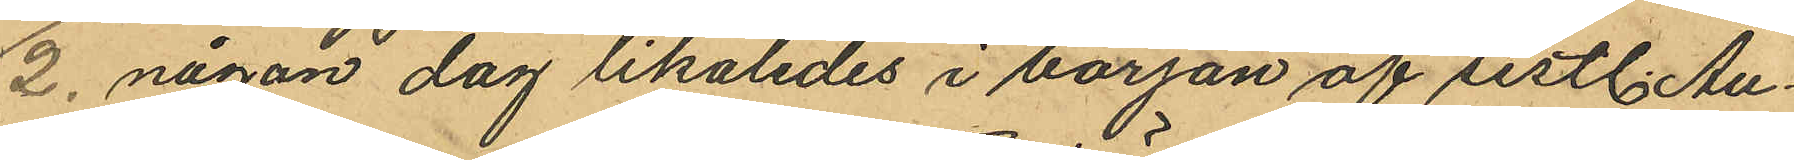2. någon dag likaledes i början af sistl. Au¬
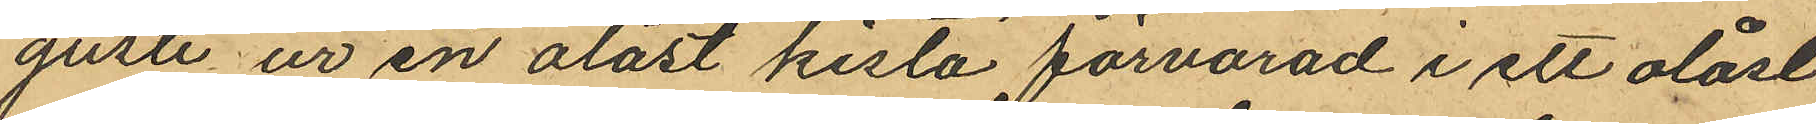gusti ur en olåst kista förvarad i ett olåst
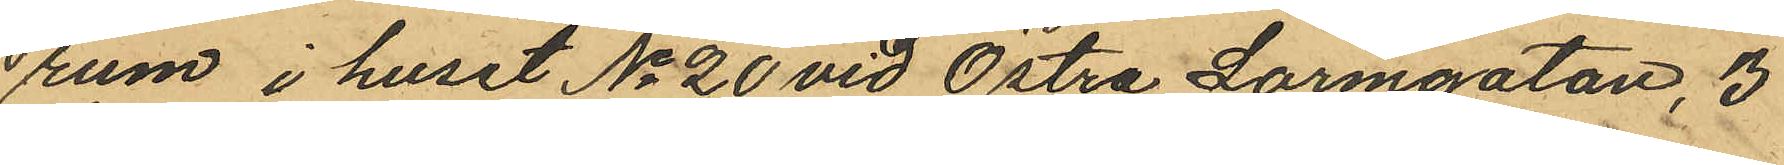rum i huset No 20 vid Östra Larmgatan, 3
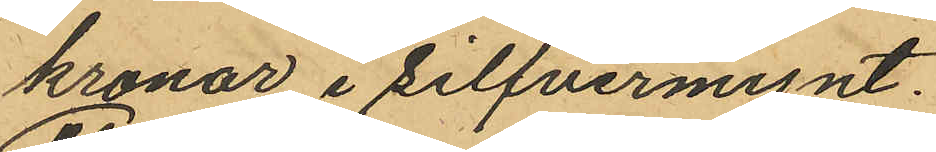kronor i silfvermynt.
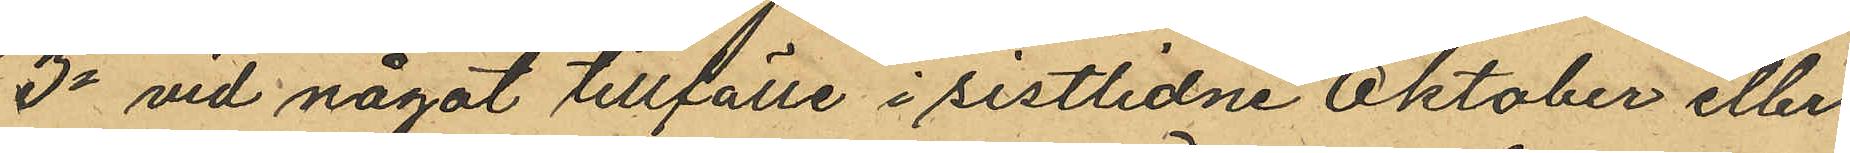3o vid något tillfälle i sistlidne Oktober eller
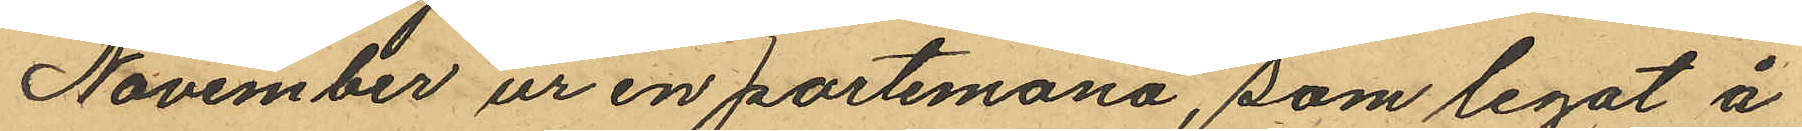November ur en portemonä, som legat å
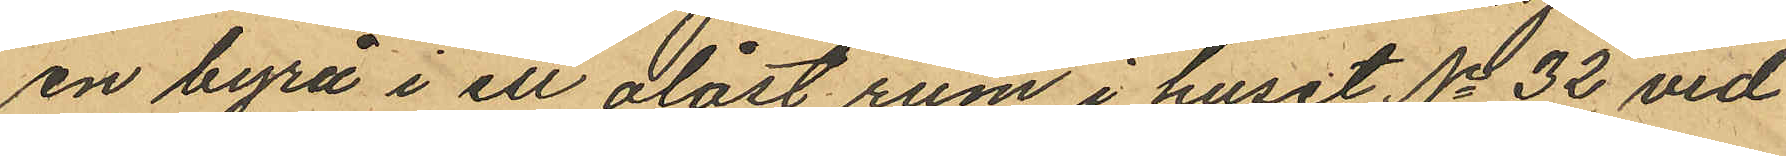en byrå i ett olåst rum i huset No 32 vid
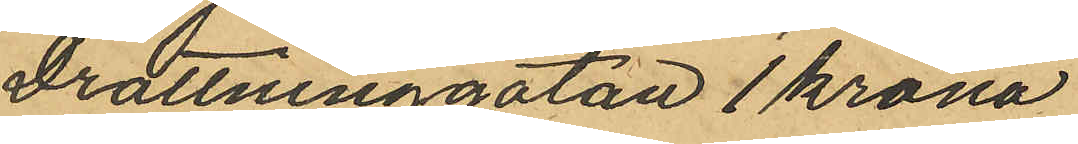Drottninggatan 1 krona.
